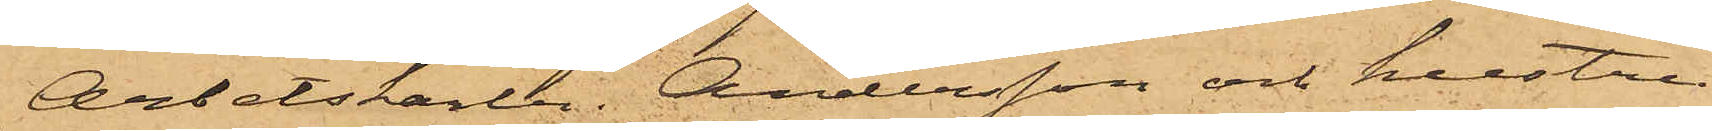Arbetskarlen Andersson och hustru
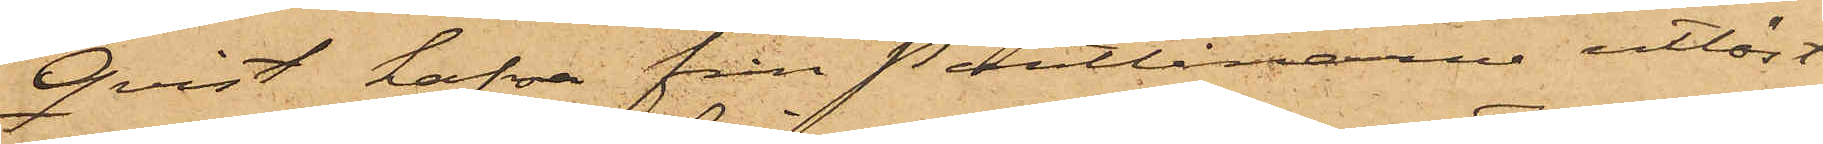Qvist hafva från Pantlånarne utlöst
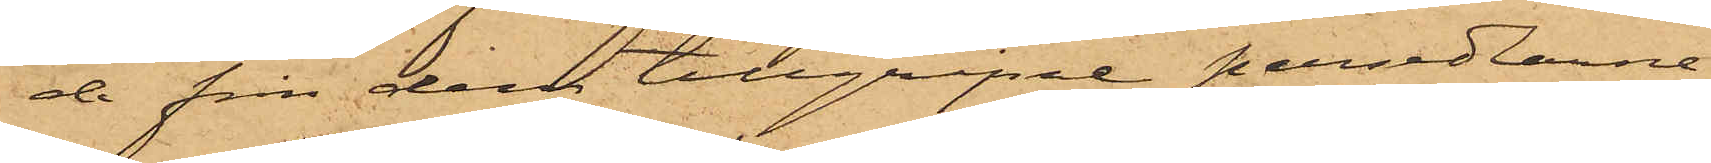de från dem tillgripne persedlarne.
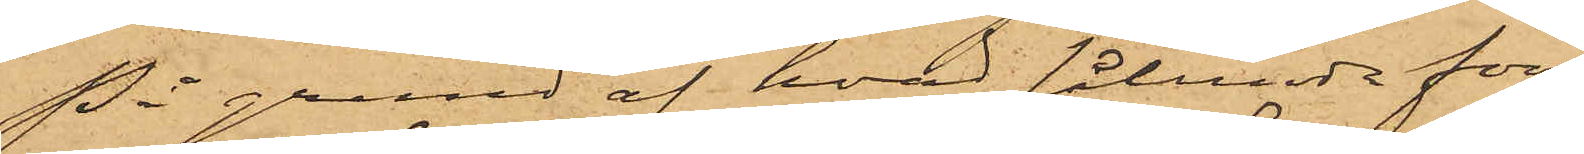På grund af hvad sålunda före¬
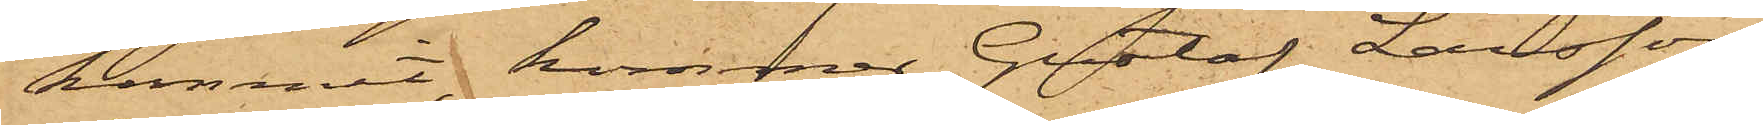kommit, kommer Gustaf Larsson,
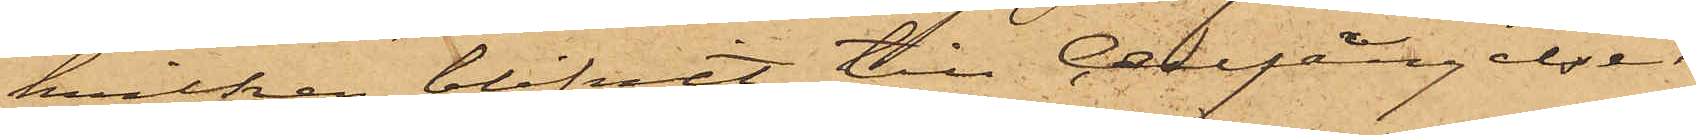hvilken blifvit till Cellfängelset
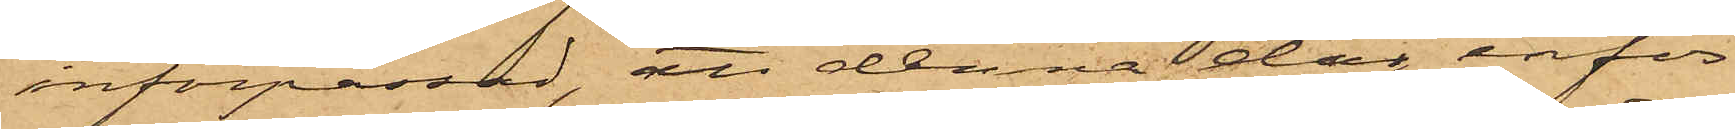införpassad, att denna dag inför
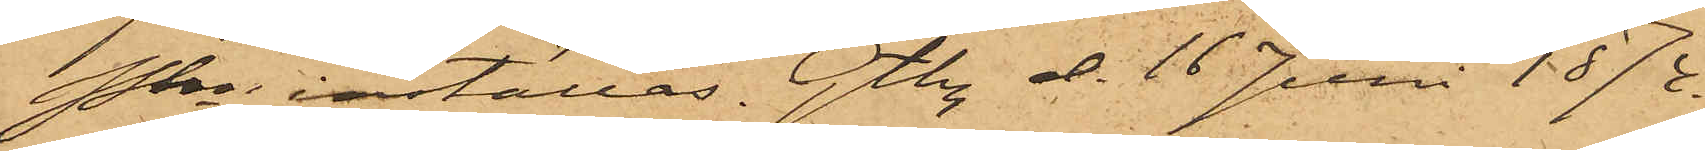Pkn inställas. Gtbg d. 16 Juni 1874.
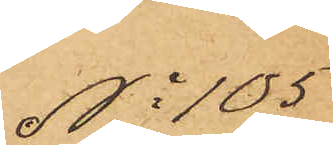No 105
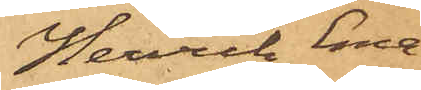Henrik Ema¬
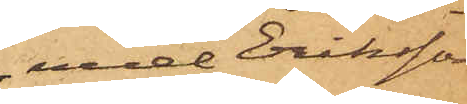nuel Eriksson
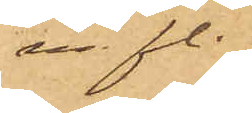m fl.
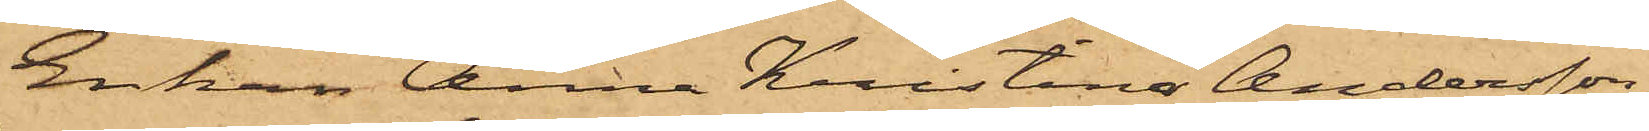Enkan Anna Kristina Andersson,
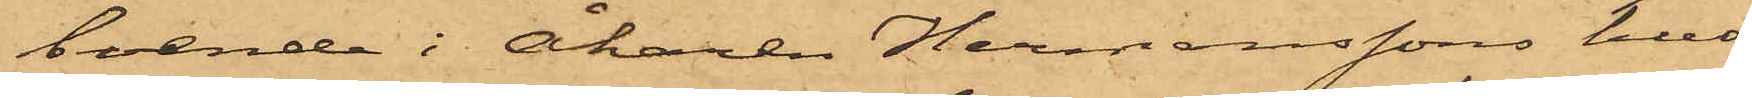boende i Åkaren Hermanssons hus
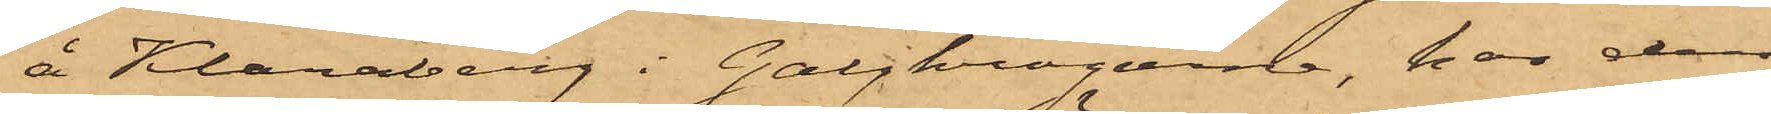å Klaraberg i Galgkrogarna, har den
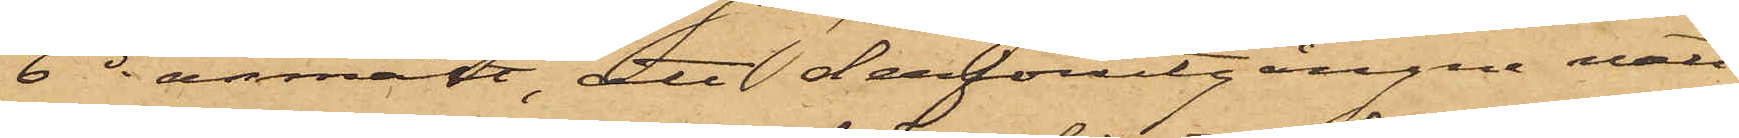6 ds anmält, att derförutgångne natt
